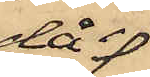då 
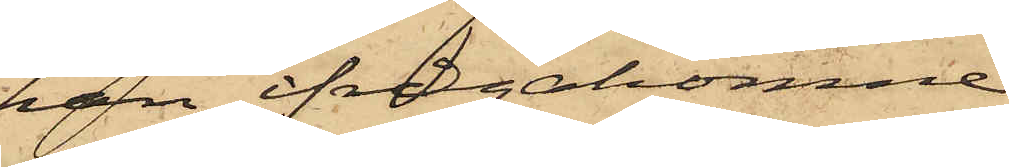han ifrågakomne
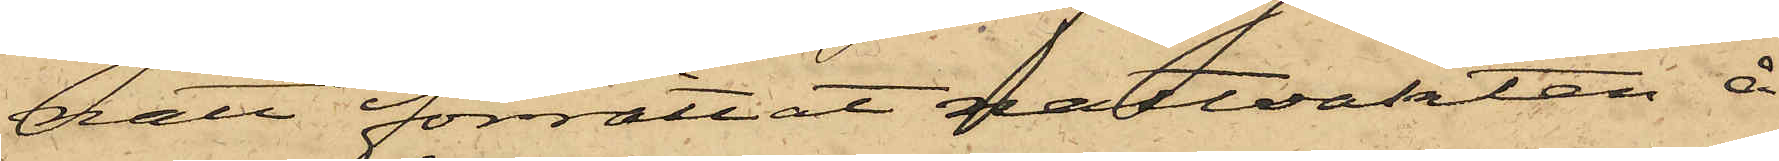natt förrättat nattvakten å
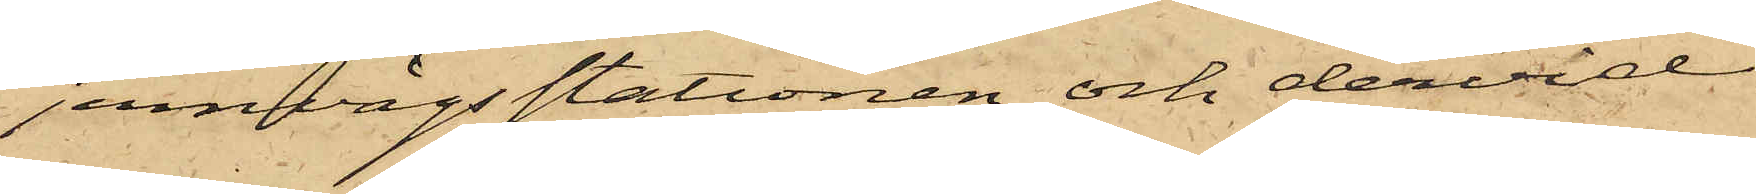jernvägsstationen och dervid
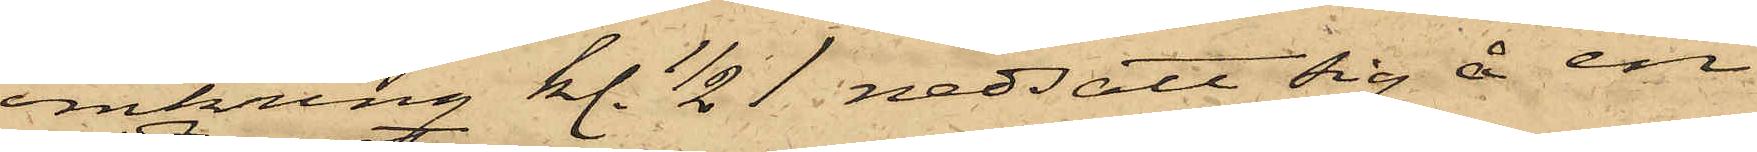omkring kl. 1/2 1 nedsatt sig å en
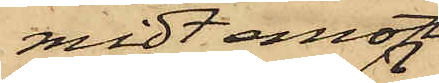midt emot
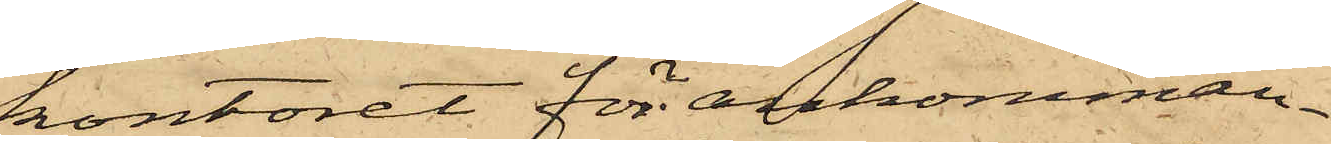kontoret för ankomman¬
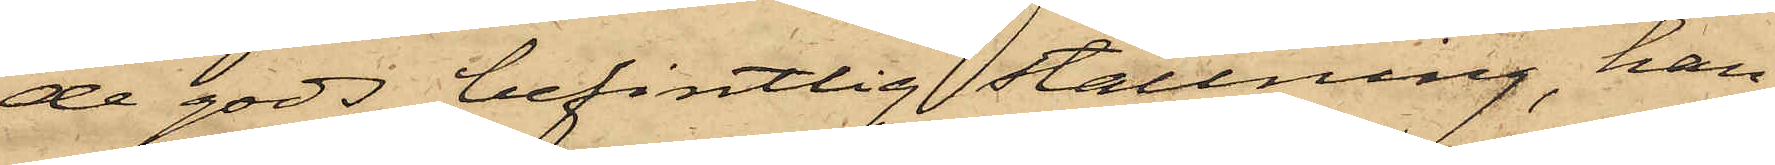de gods befintlig ställning, han
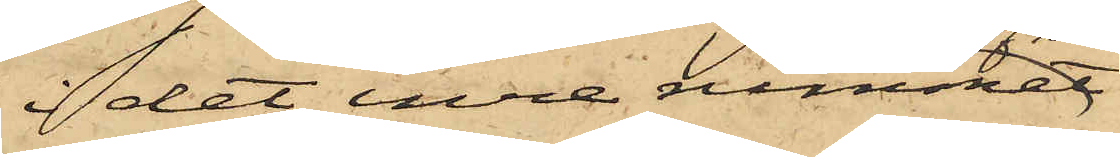i det inre rummet
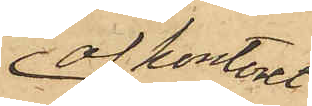af kontoret
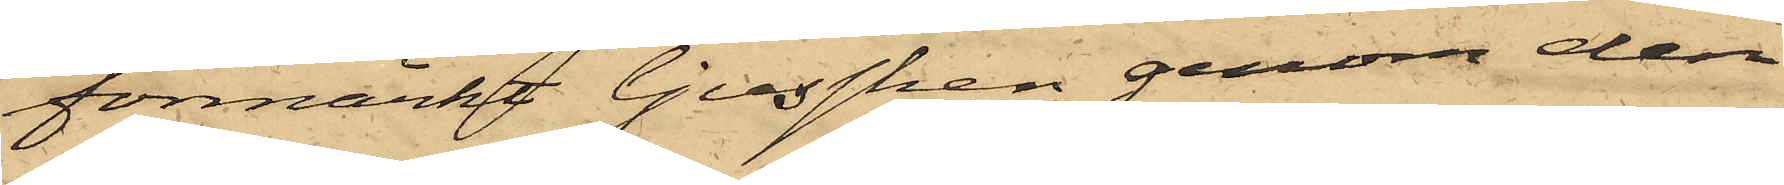förmärkt ljussken genom den
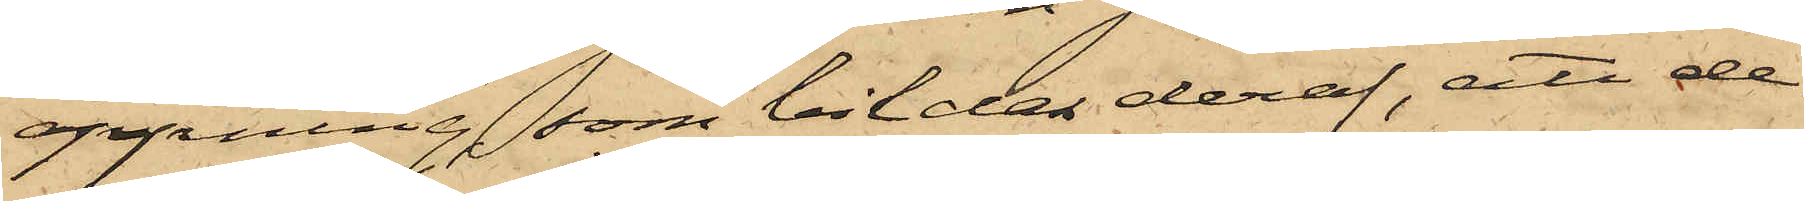öppning, som bildas deraf, att de
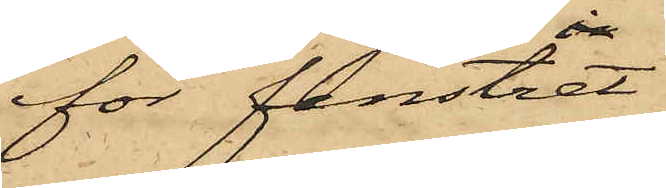för fenstret
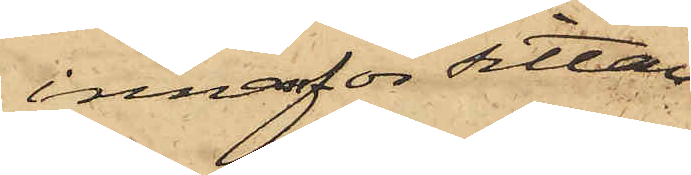innanför sittan¬
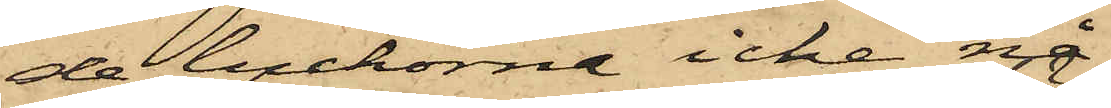de luckorna icke nå
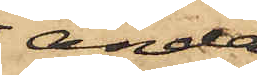ända
